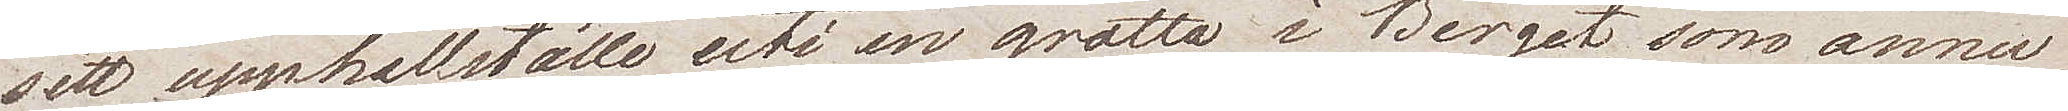sitt upphållställe uti en grotta i Berget, som ännu
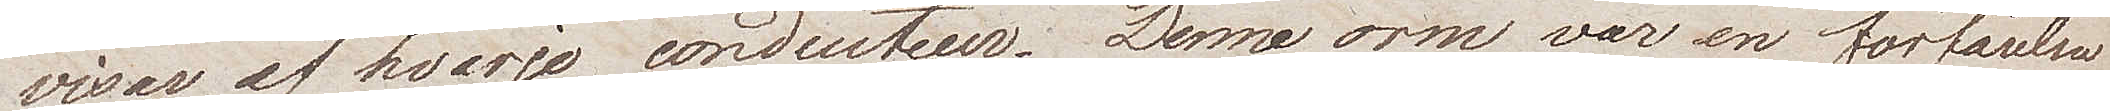visas av hvarje conducteur. Denna orm var en förfärelse
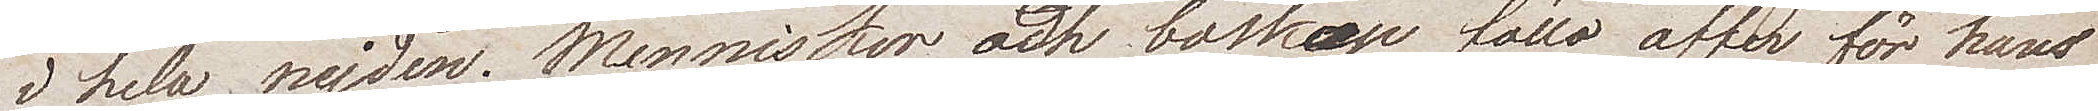i hela nejden. Menniskor och boskap föllo offer för hans
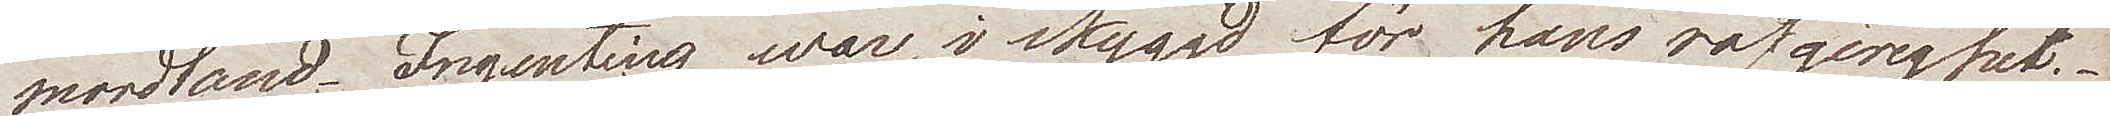mordtand. Ingenting war i skyggd för hans rofgirighet.
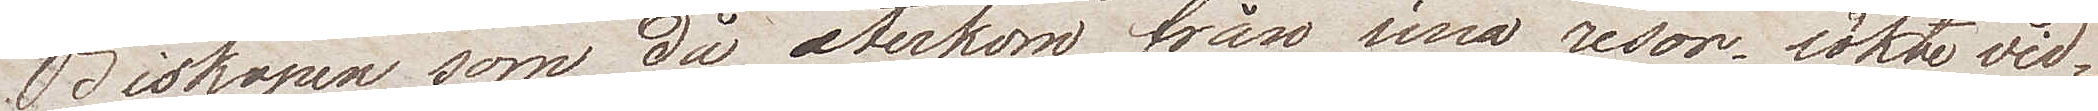Biskopen som då återkom från sina resor tänkte vid¬
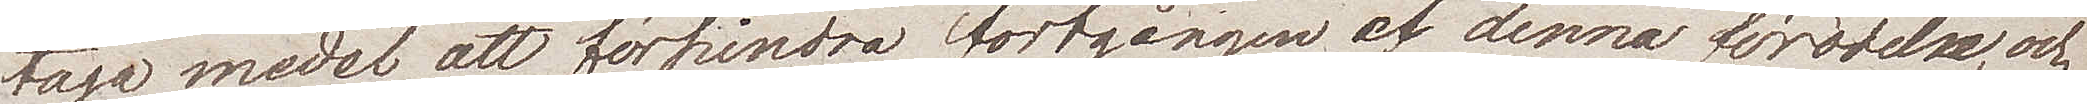taga medel att förhindra fortgången av denna förödelse och
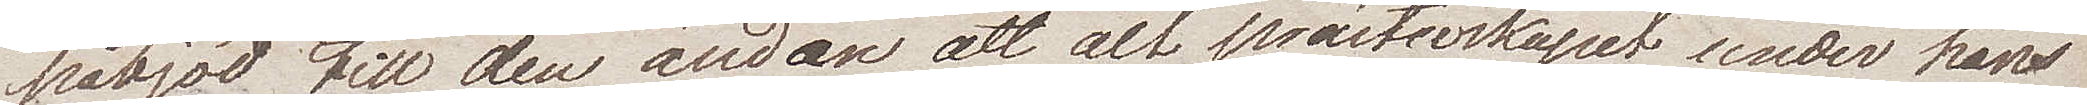påbjöd till den ändan att alt prästerskapet under hans
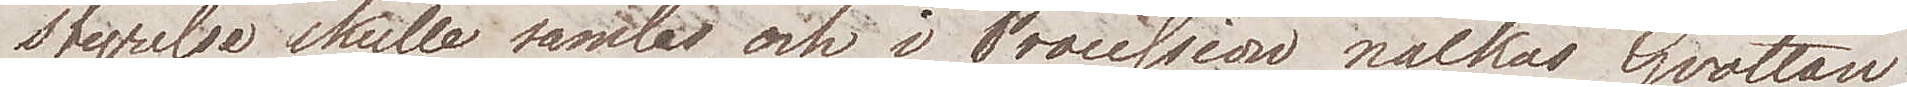styrelse skulle samlas och i Procession nalkas Grottan
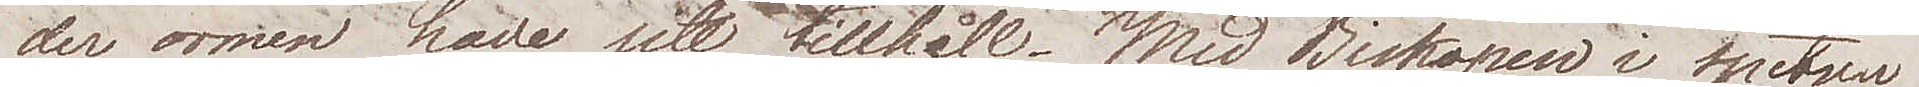der ormen hade sitt tillhåll. Med Biskopen i spetsen
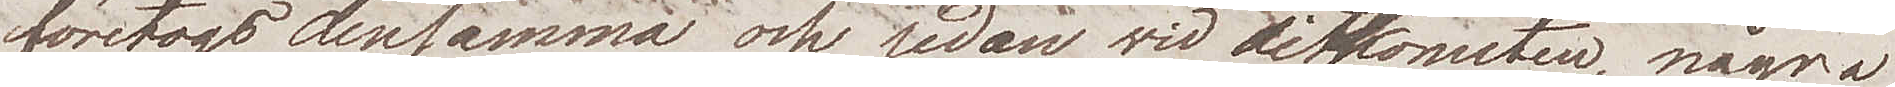företogs densammma och redan vid ditkomsten, några
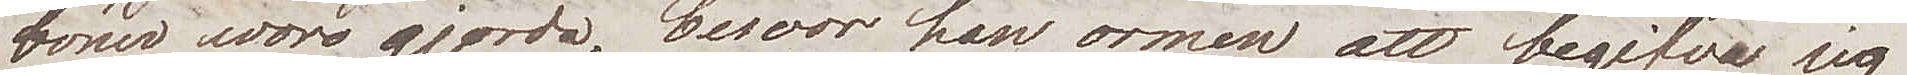böner voro gjorda, besvor han ormen att begifva sig
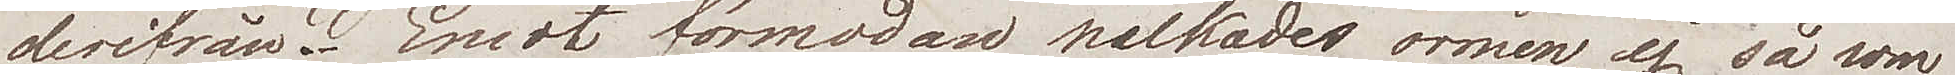derifrån. Emot förmodan nalkades ormen, ej så som
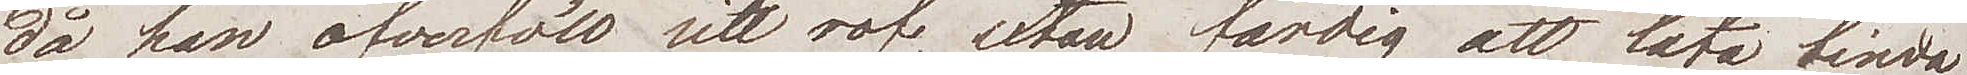då han öfverföll sitt rof, utan färdig att låta binda
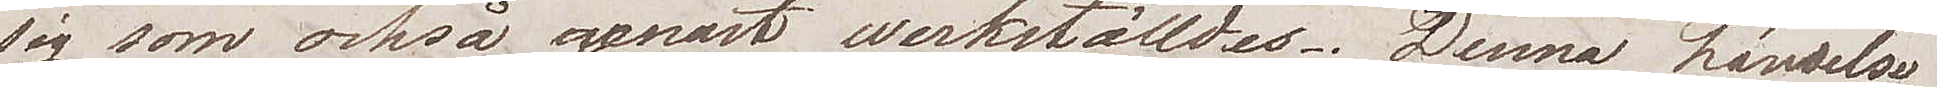sig som också genast werkställdes. Denna händelse
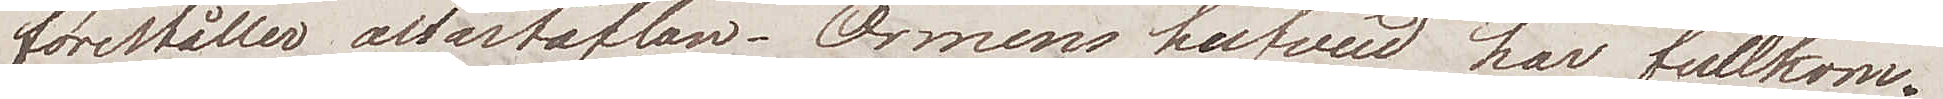föreställer altartaflan. Ormens hufvud har fullkom¬
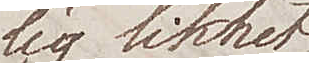lig likhet
